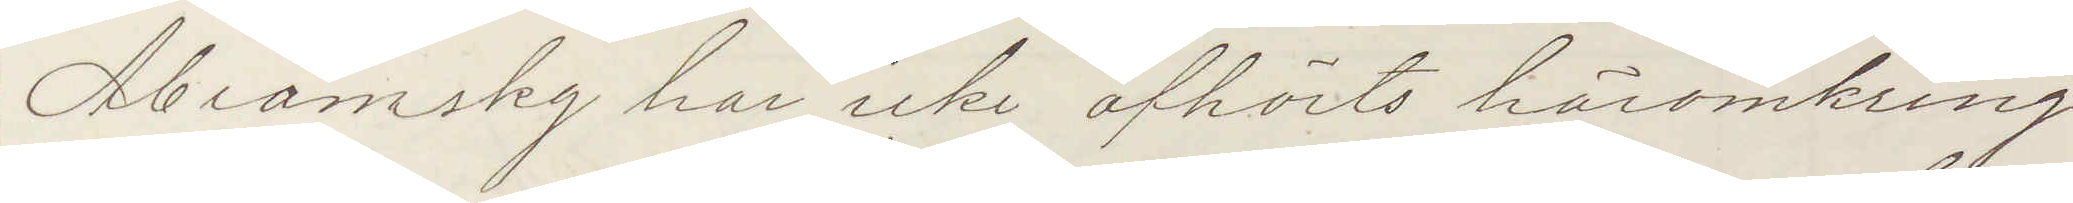Abramsky har icke afhörts häromkring.
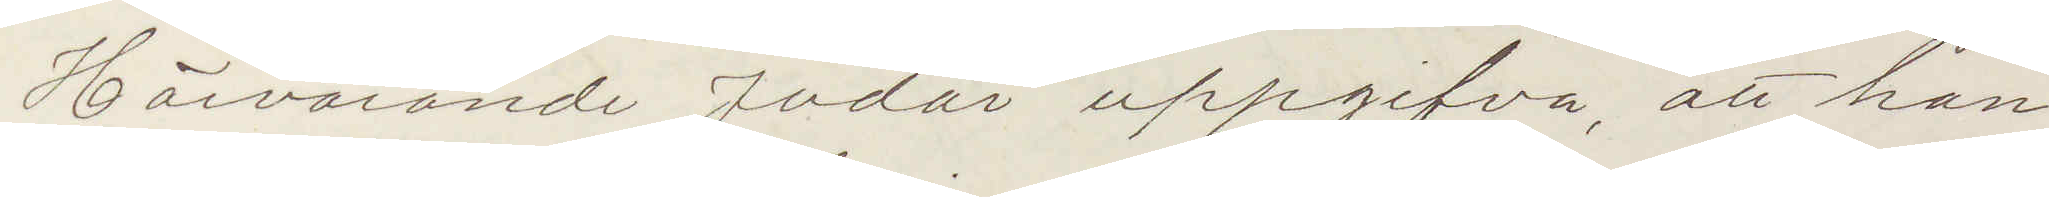Härvarande Judar uppgifva, att han
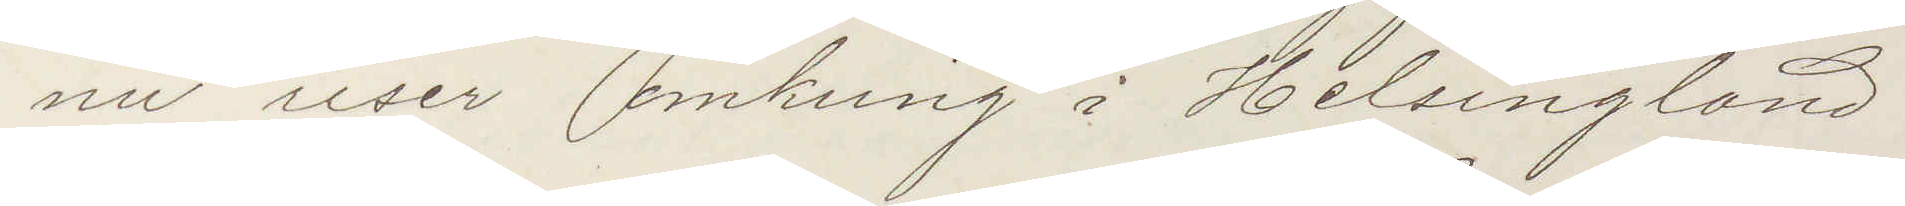nu reser omkring i Helsingland.
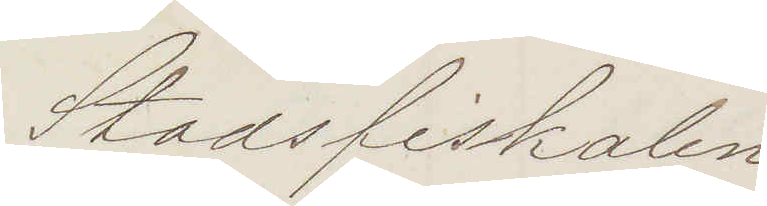Stadsfiskalen
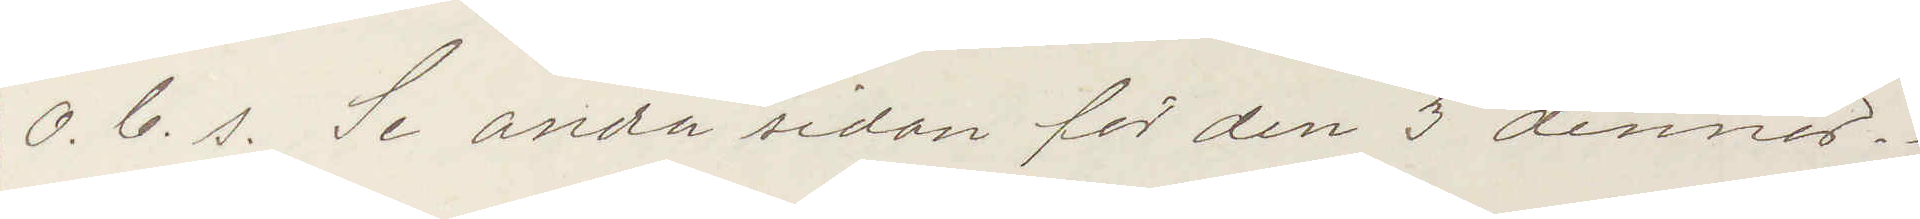O. b. s. Se andra sidan for den 3 dennes.
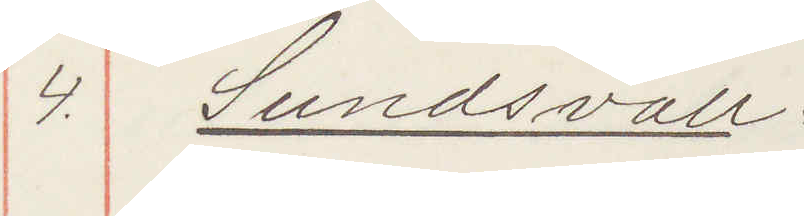4. Sundsvall.
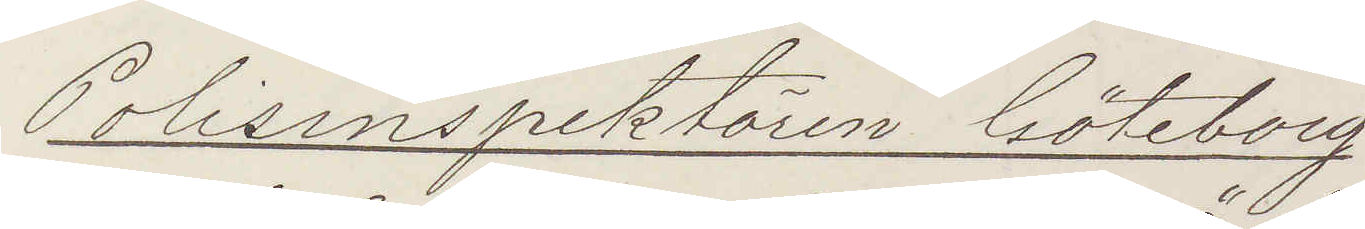Polisinspektören Göteborg
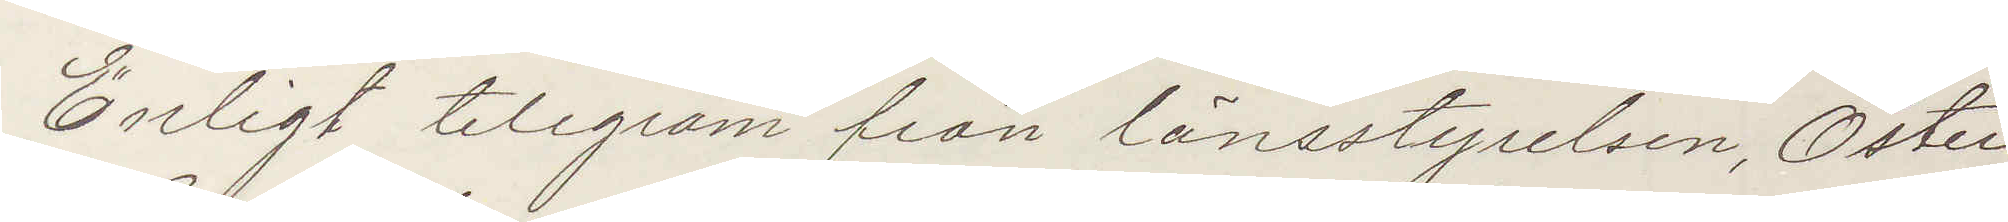Enligt telegram från länsstyrelsen, Öster¬
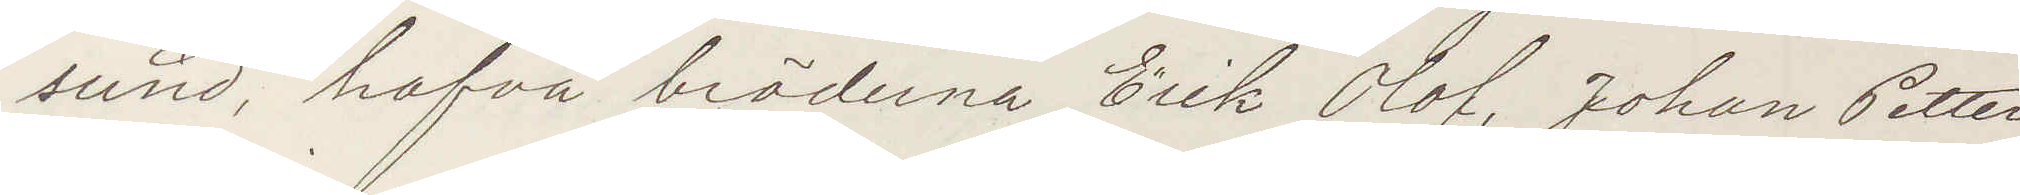sund, hafva bröderna Erik Olof, Johan Petter
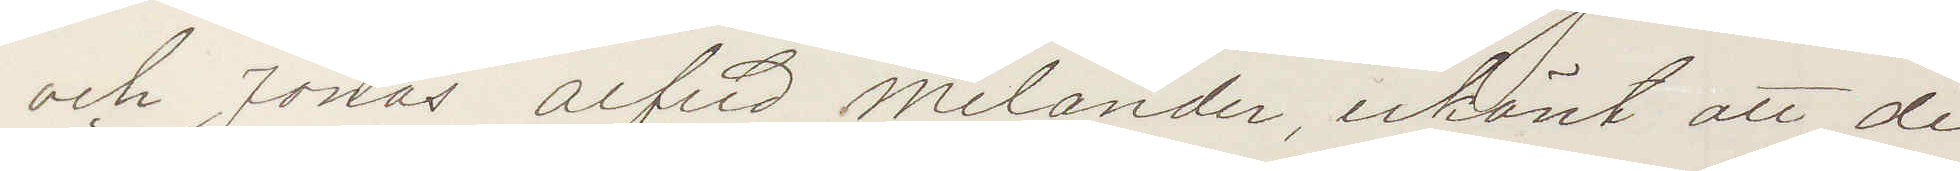och Jonas Alfred Melander, erkänt att de
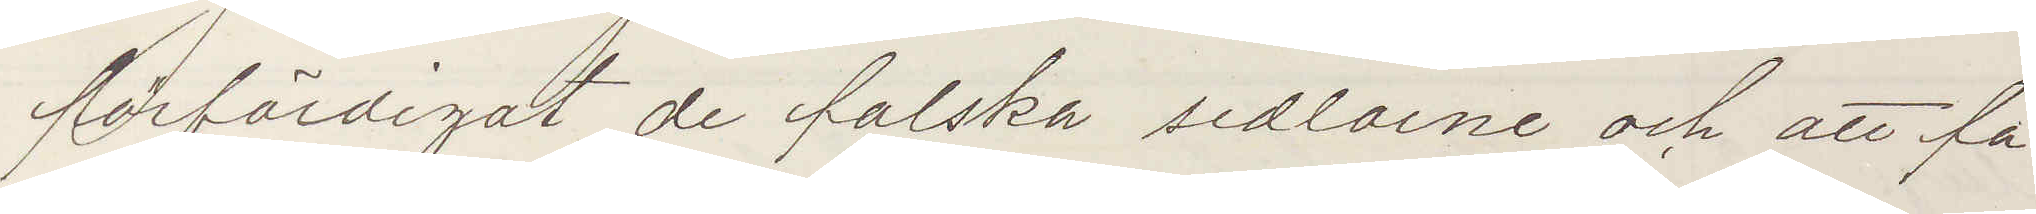förfärdigat de falska sedlarne och att fa¬
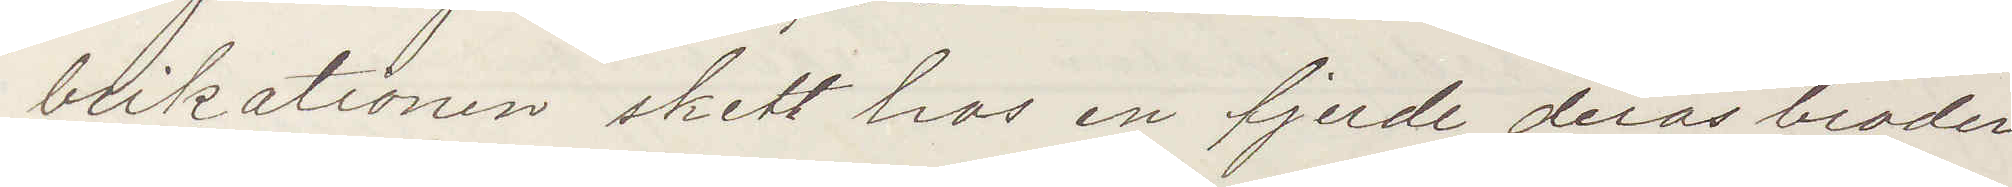brikationen skett hos en fjerde deras broder
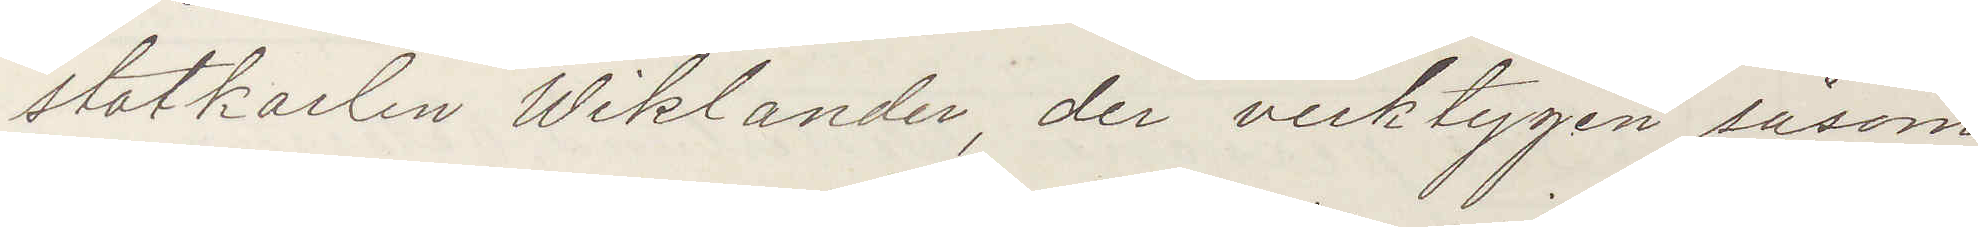statkarlen Wiklander, der verktygen såsom
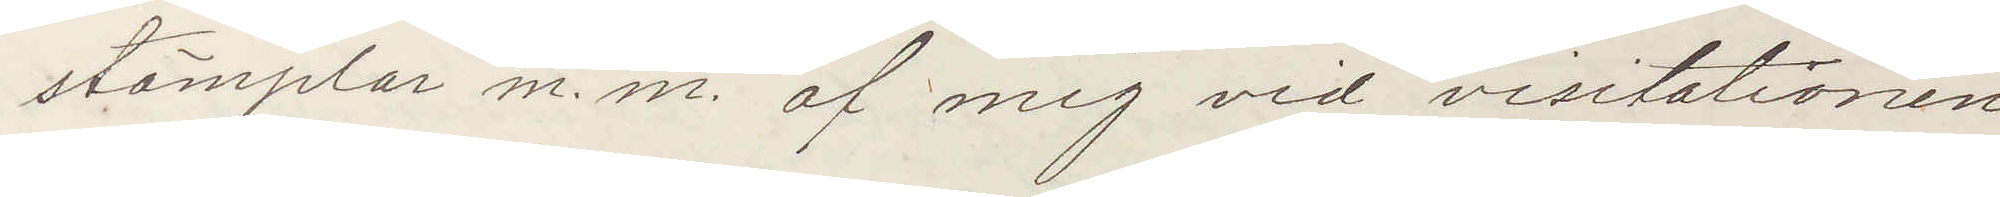stämplar m. m. af mig vid visitationen
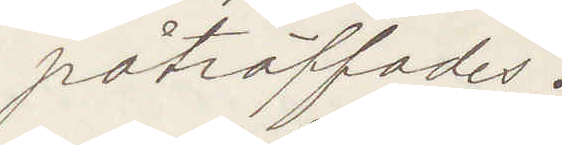påträffades.
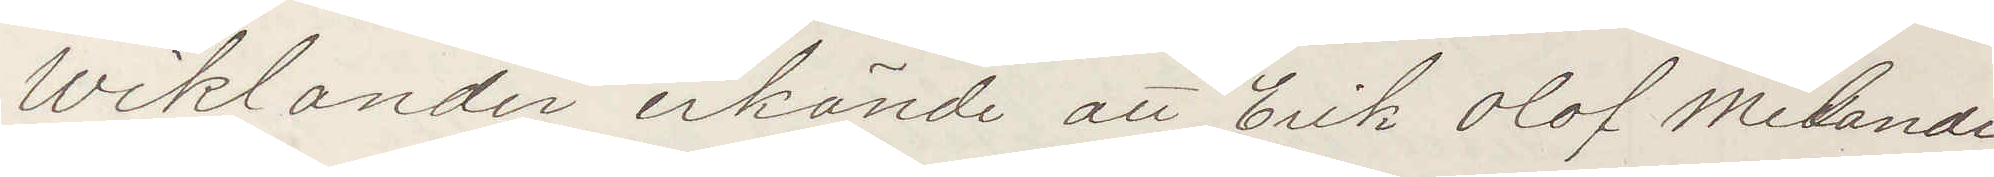Wiklander erkände att Erik Olof Melande
